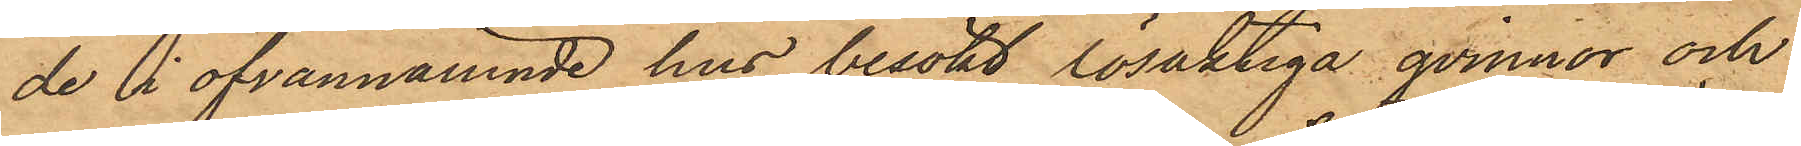de i ofvannämnde hus besökt lösaktiga qvinnor och
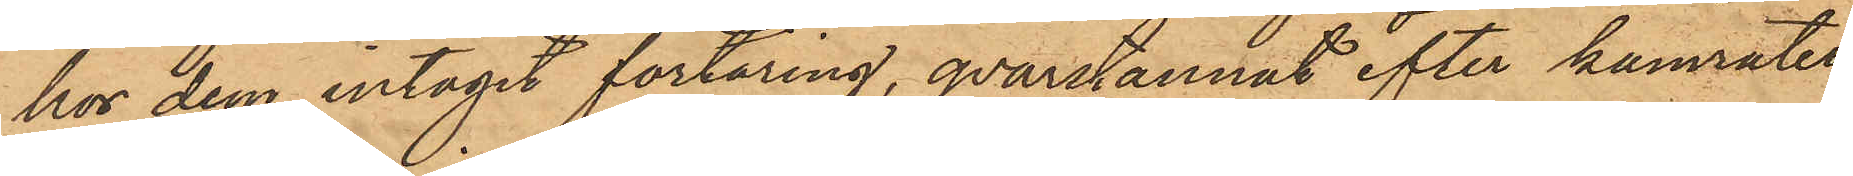hos dem intagit förtäring, qvarstannat efter kamrater¬
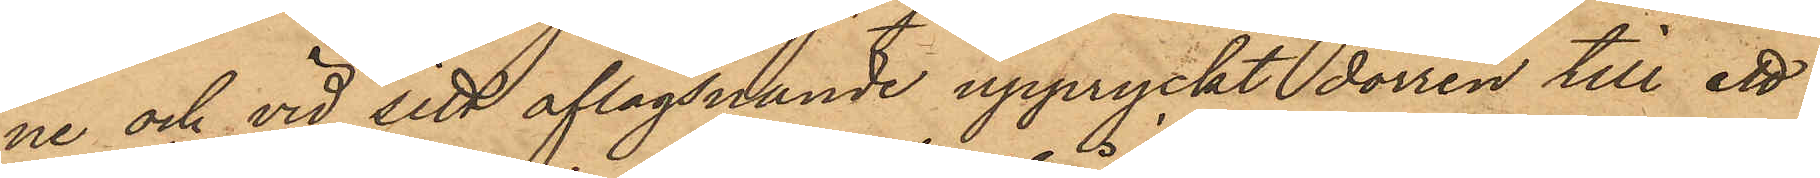ne och vid sitt aflägsnande uppryckt dörren till ett
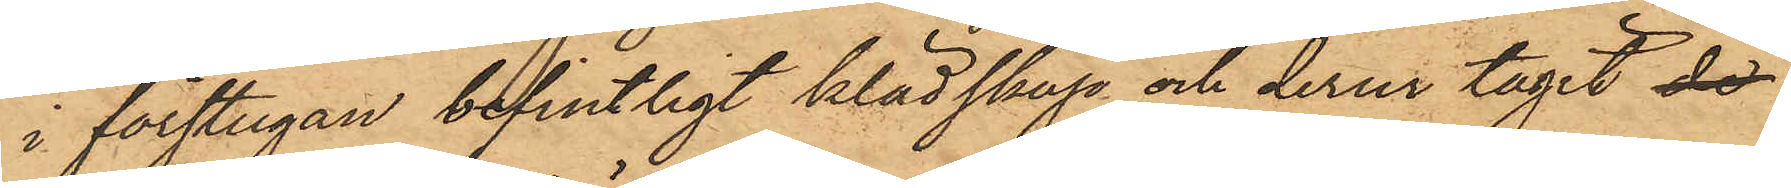i förstugan befintligt klädskåp och derur tagit de
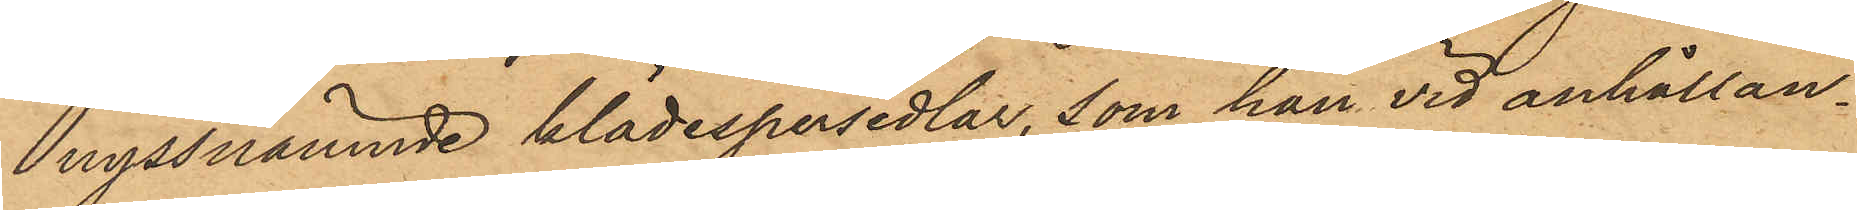nyssnämnde klädespersedlar, som han vid anhållan¬
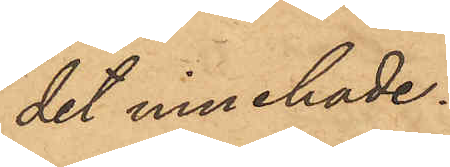det innehade.
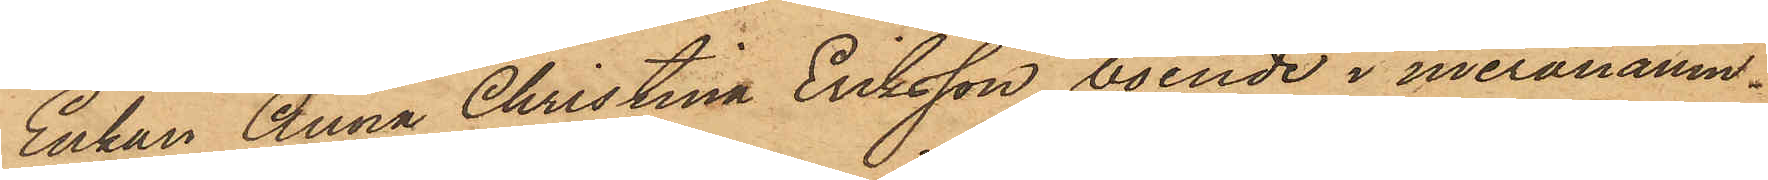Enkan Anna Christina Eriksson, boende i meranämn¬
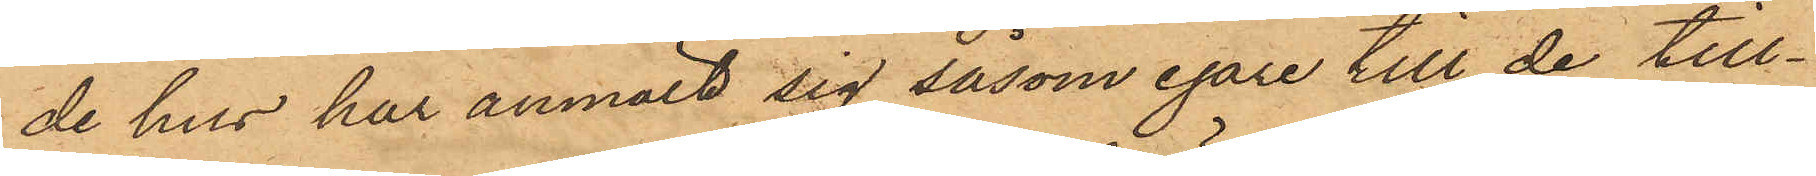de hus har anmält sig såsom egare till de till¬
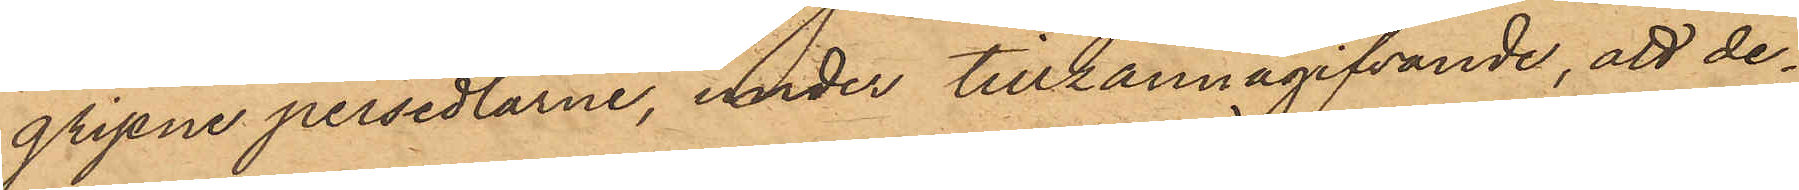gripne persedlarne, under tillkännagifvande, att de¬
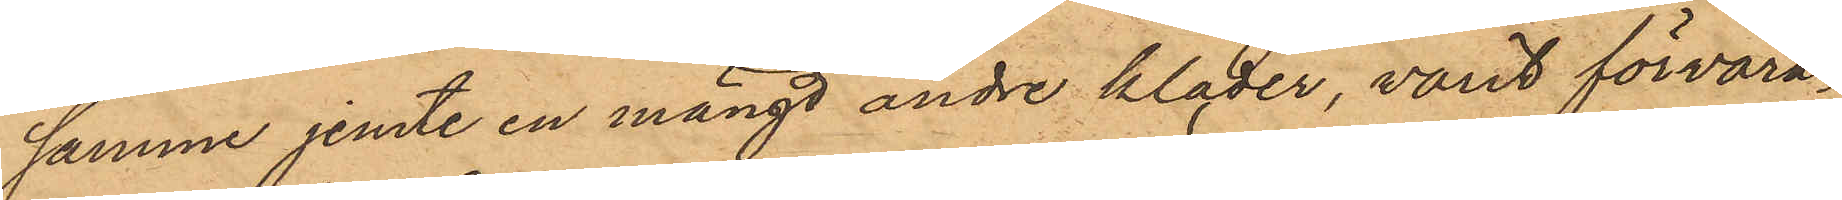samme jemte en mängd andre kläder, varit förvara¬
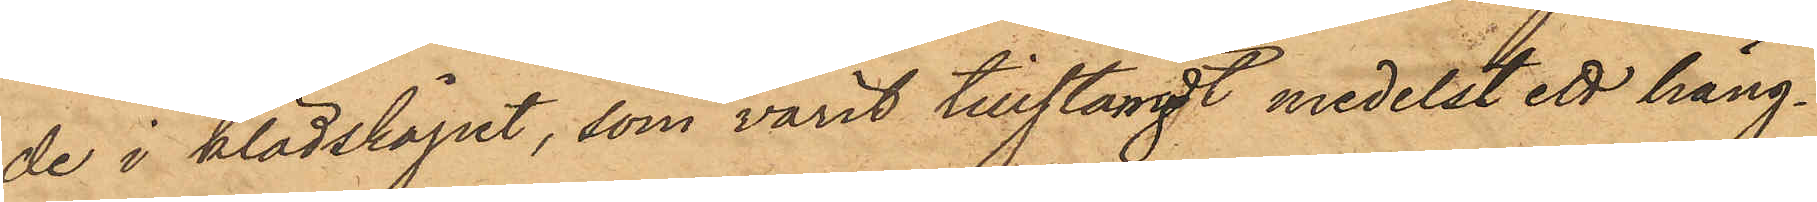de i klädskåpet, som varit tillstängt medelst ett häng¬
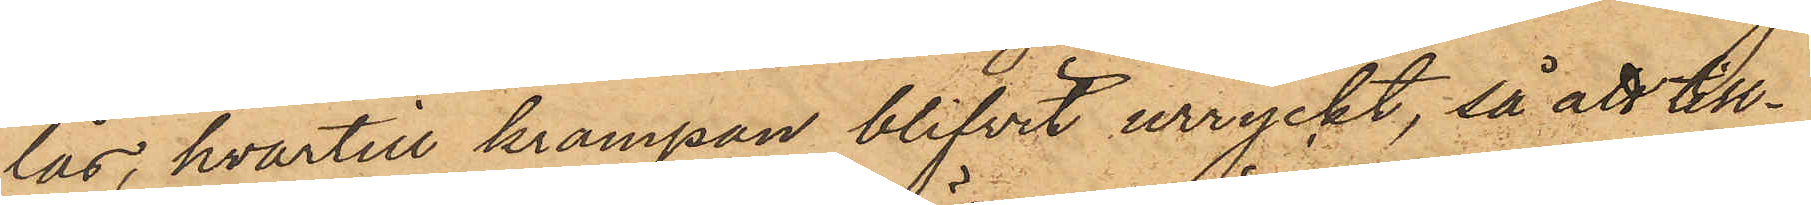lås, hvartill krampan blifvit urryckt, så att in¬
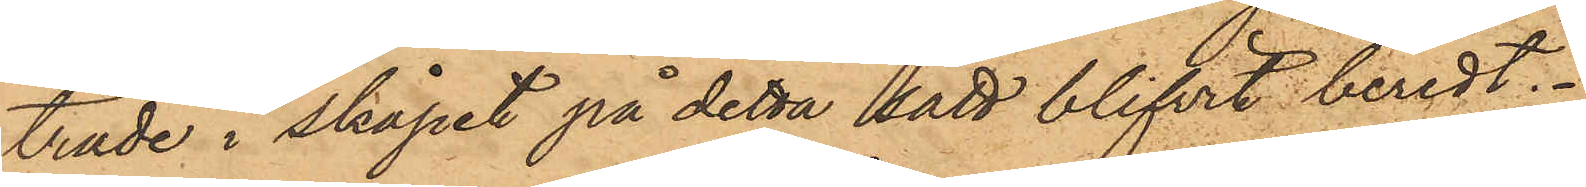träde i skåpet på detta sätt blifvit beredt.
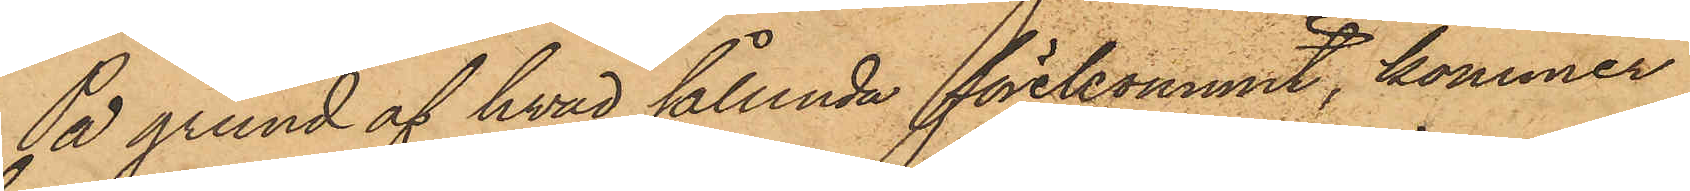På grund af hvad sålunda förekommit, kommer
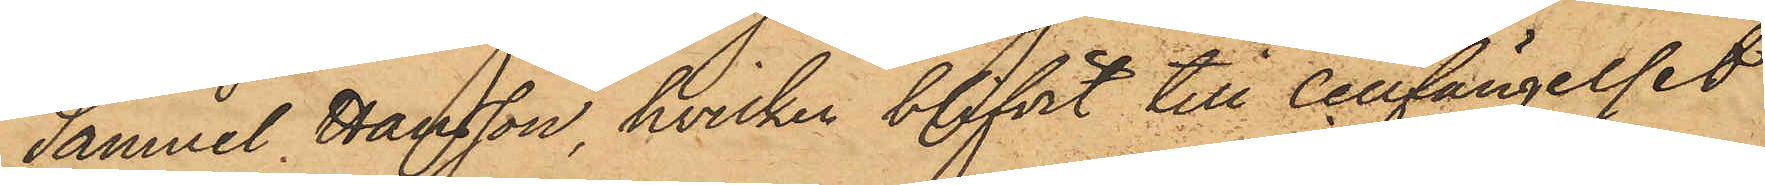Samuel Hansson, hvilken blifvit till Cellfängelset
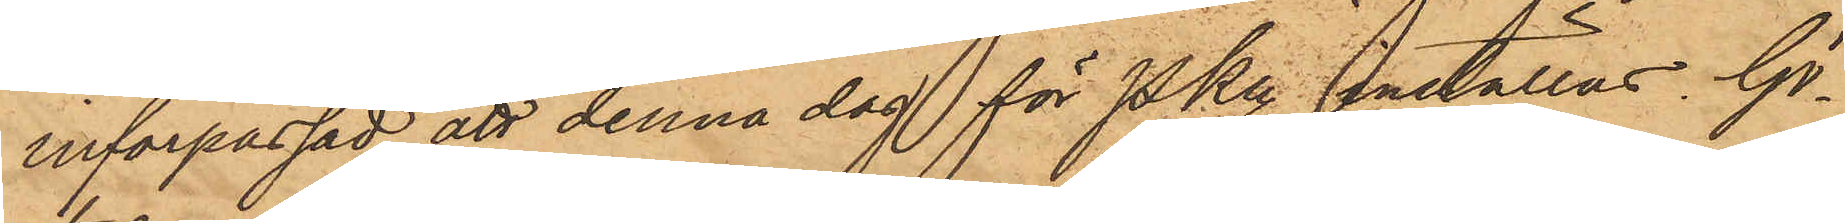införpassad, att denna dag för PKn inställas. Gö¬
